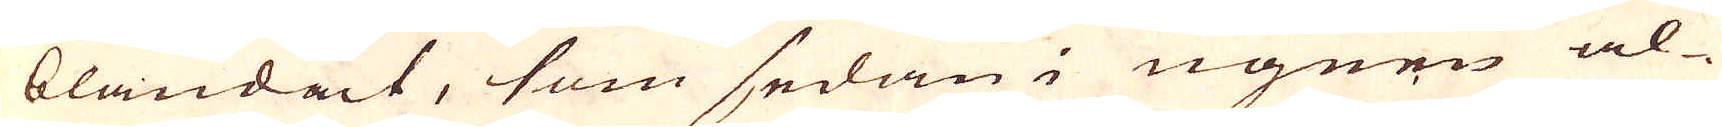blandat, som sedan i ugnen al-
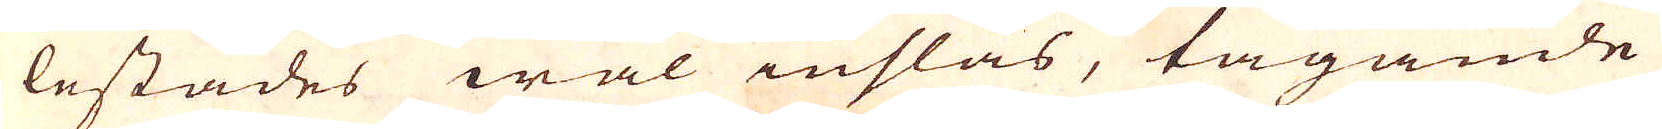lestädes wäl inslås, tagande
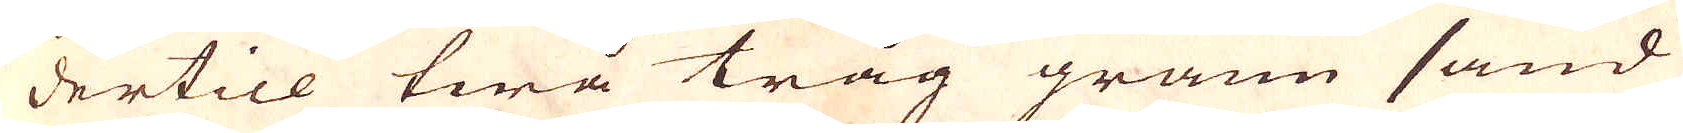dertill twå tråg grann sand
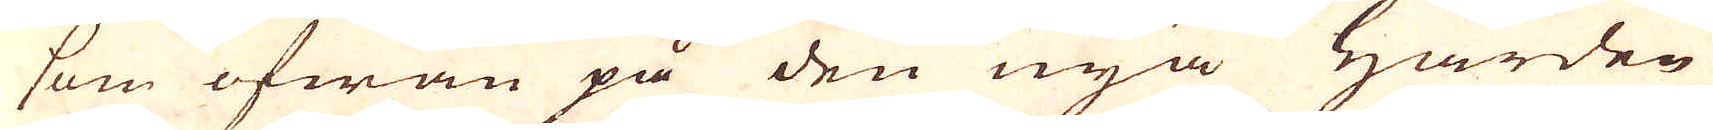som ofwan på den nya Härden
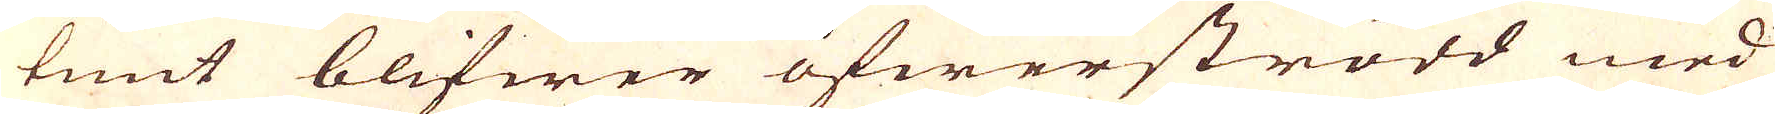tunt blifwer öfwerströdd med
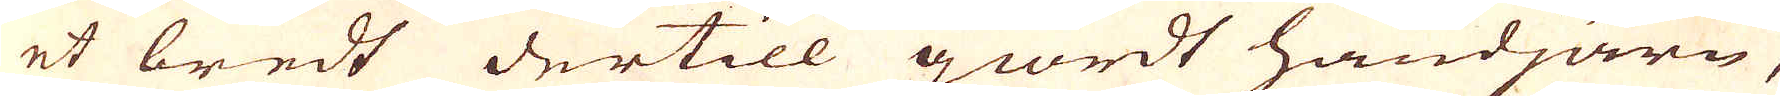et bredt dertill giordt handjärn,
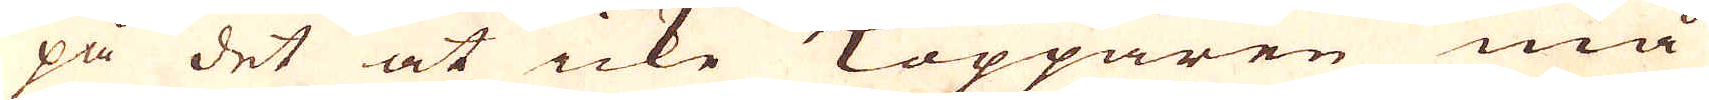på det at icke Kopparen må
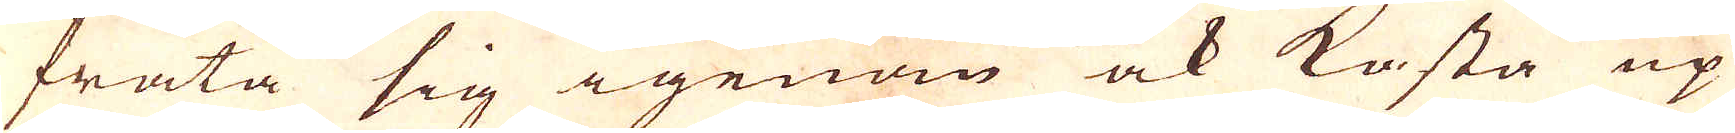fräta sig igenom ock kasta up
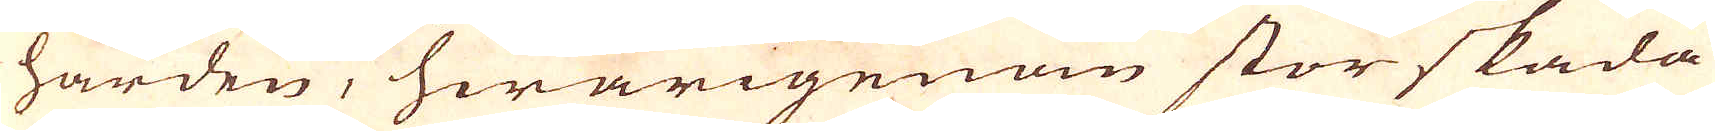härden, hwarigenom stor skada
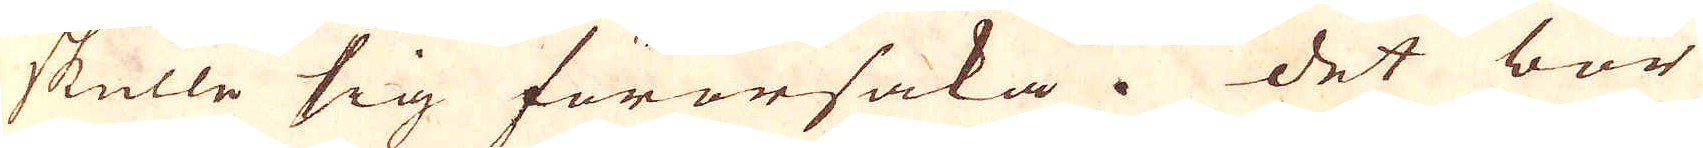skulle sig förorsaka. Det bör
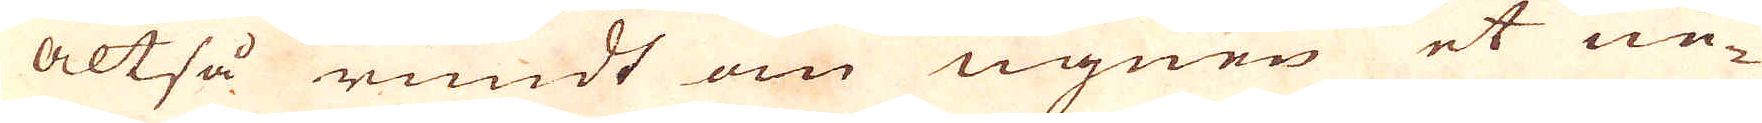altså rundt om ugnen et ne-
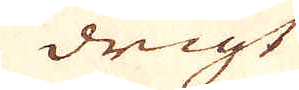drigt
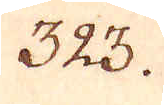323.
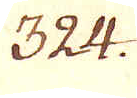324.
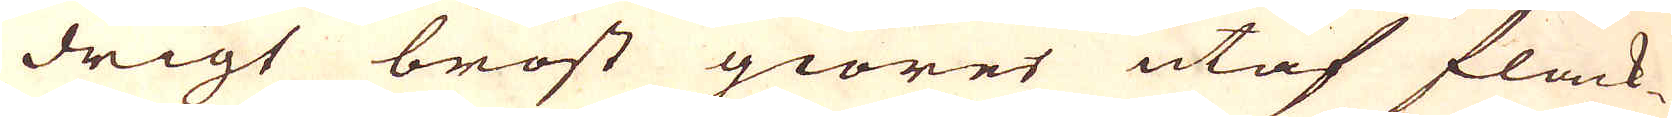drigt bröst giöres utaf flack-
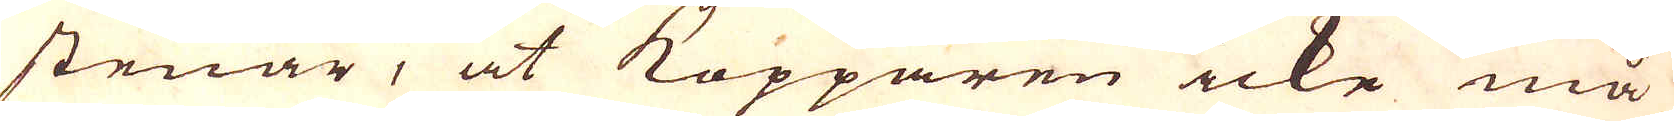stenar, at Kopparen icke må
